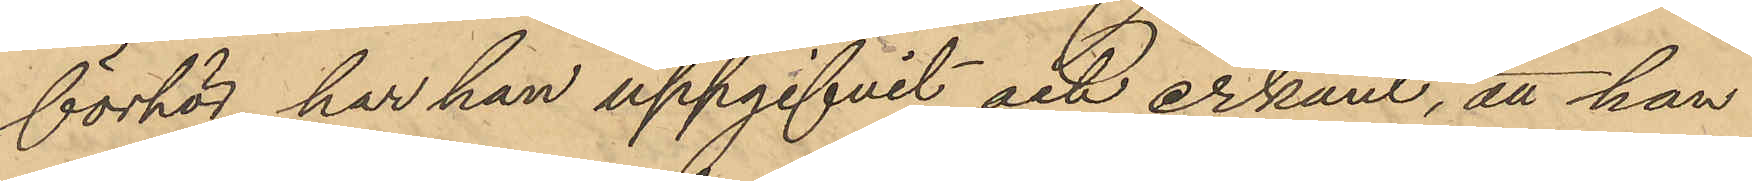förhör har han uppgifvit och erkänt, att han
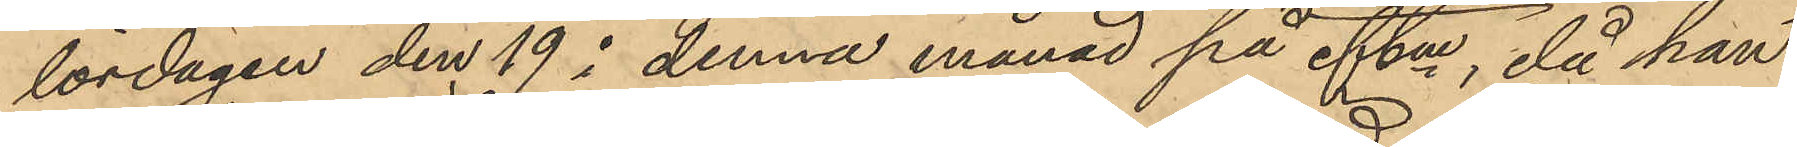lördagen den 19 i denna månad på eftm, då han
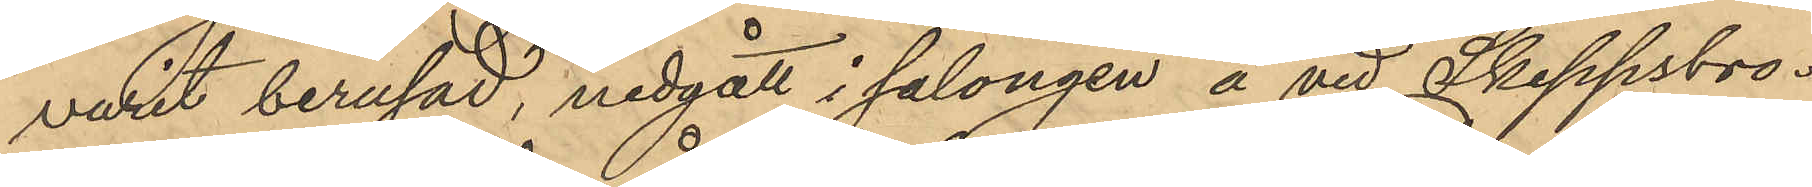varit berusad, nedgått i salongen å vid Skeppsbro¬
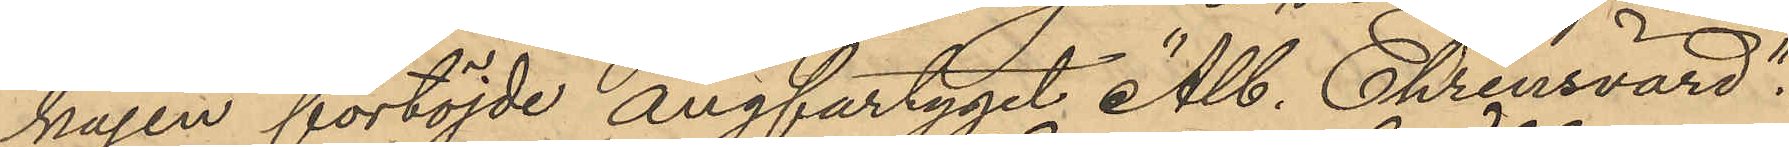kajen förtöjde ångfartyget "Alb. Ehrensvärd",
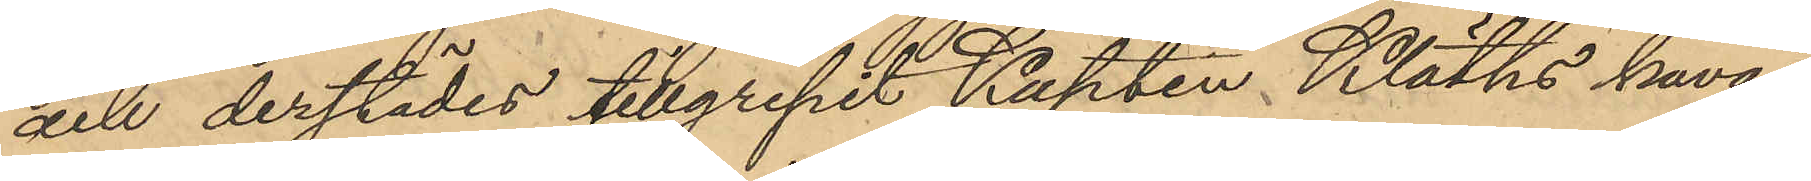och derstädes tillgripit Kapten Kläths kavaj,
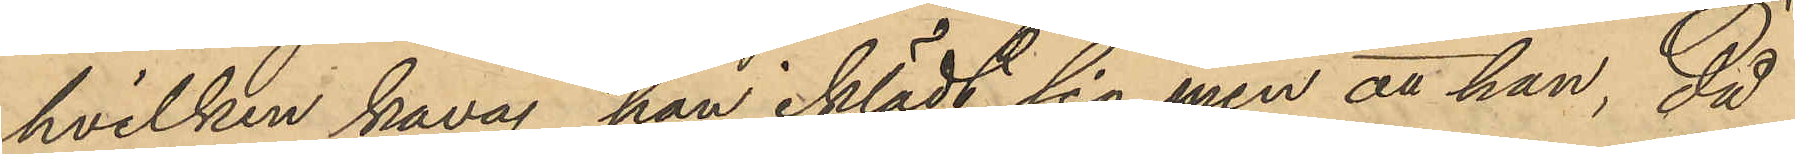hvilken kavaj han iklädt sig, men att han, då
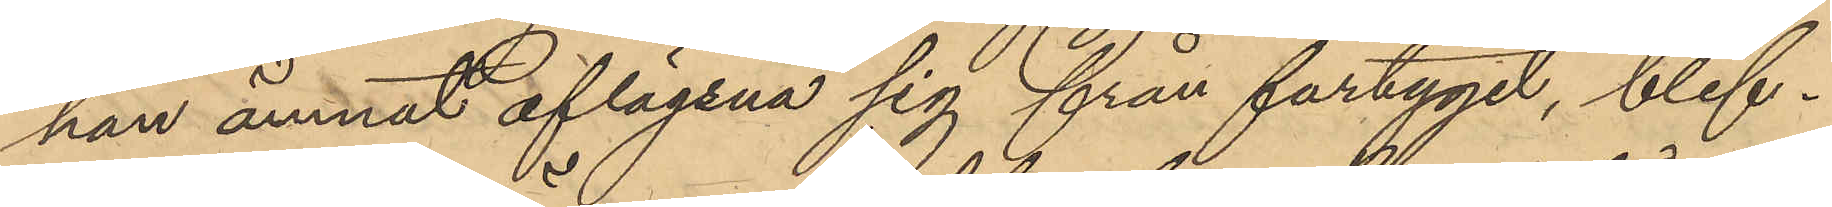han ämnat aflägsna sig från fartyget, blef¬
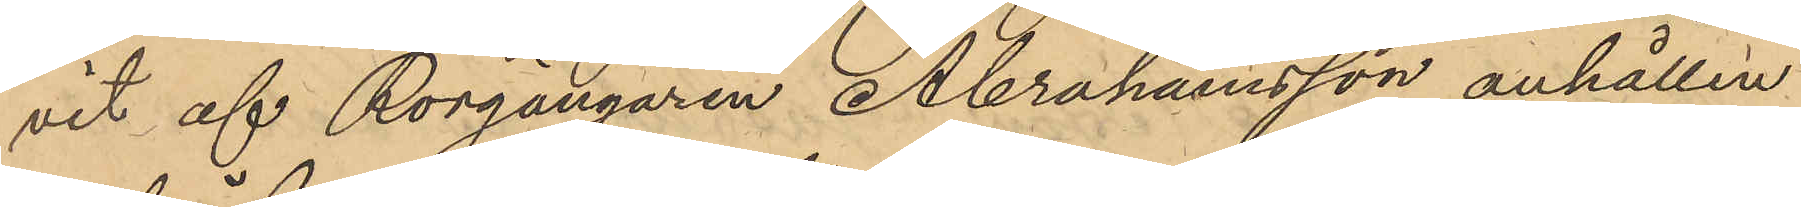vit af Rorgängaren Abrahamsson anhållen
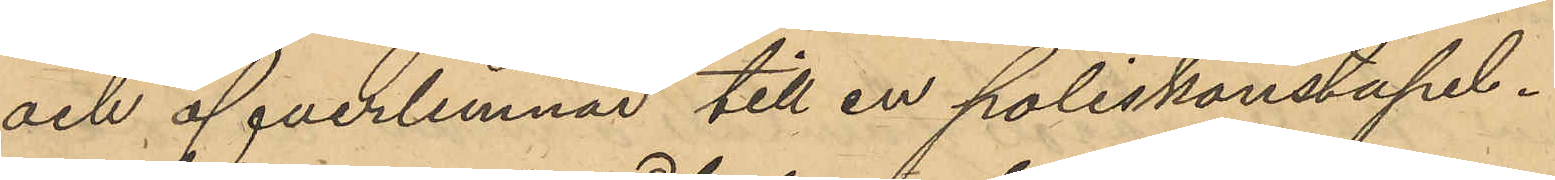och öfverlemnad till en poliskonstapel.
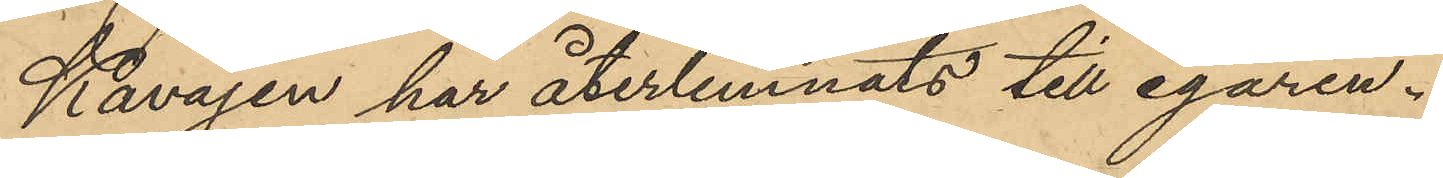Kavajen har återlemnats till egaren.
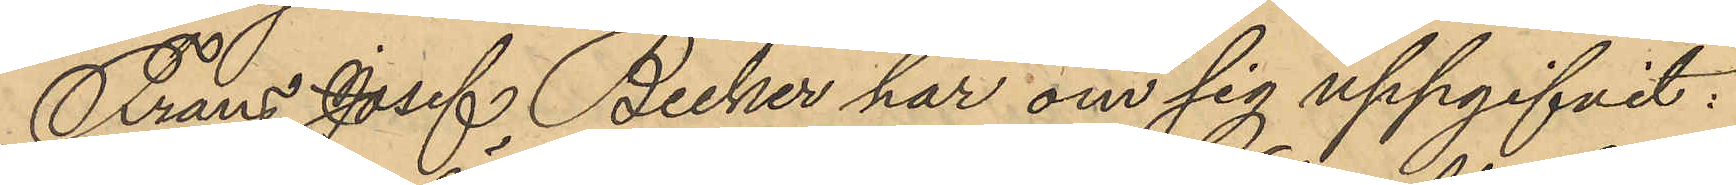Frans Josef Becker har om sig uppgifvit:
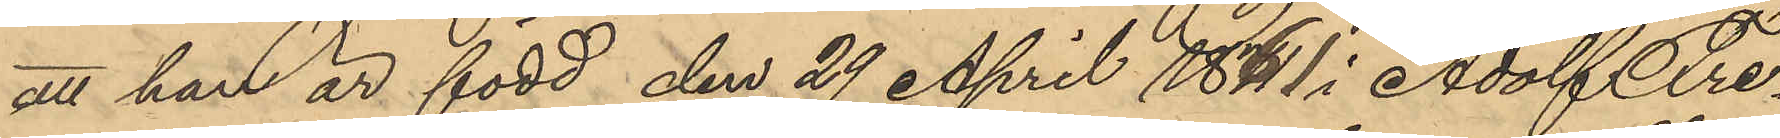att han är född den 29 April 1861 i Adolf Fre¬
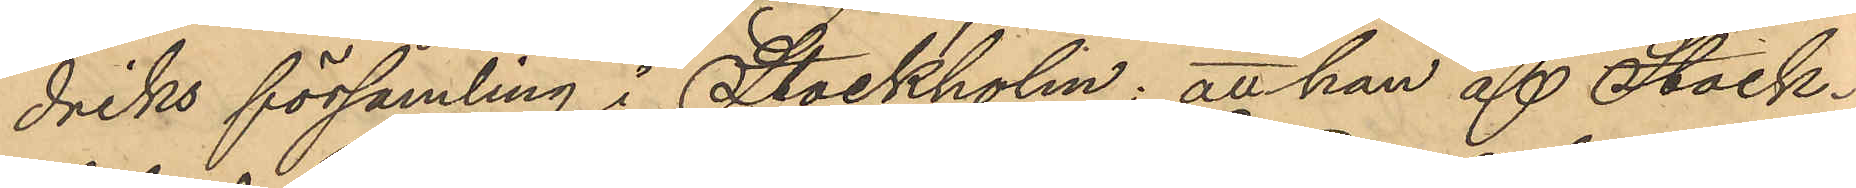driks församling i Stockholm; att han af Stock¬
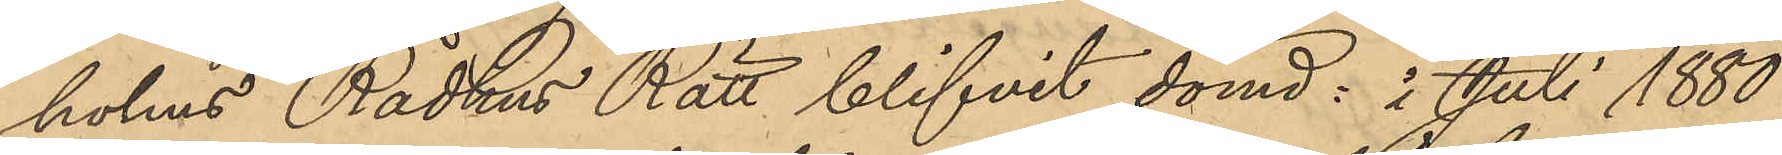holms Rådhus Rätt blifvit dömd: i Juli 1880 
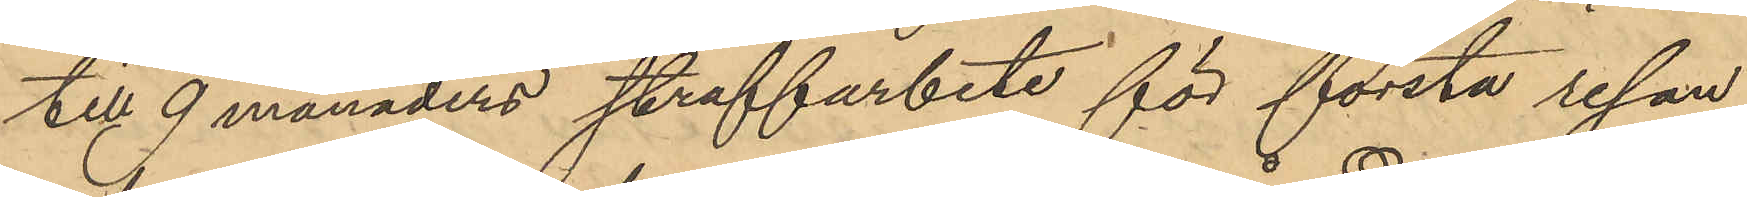till 9 månaders straffarbete för första resan
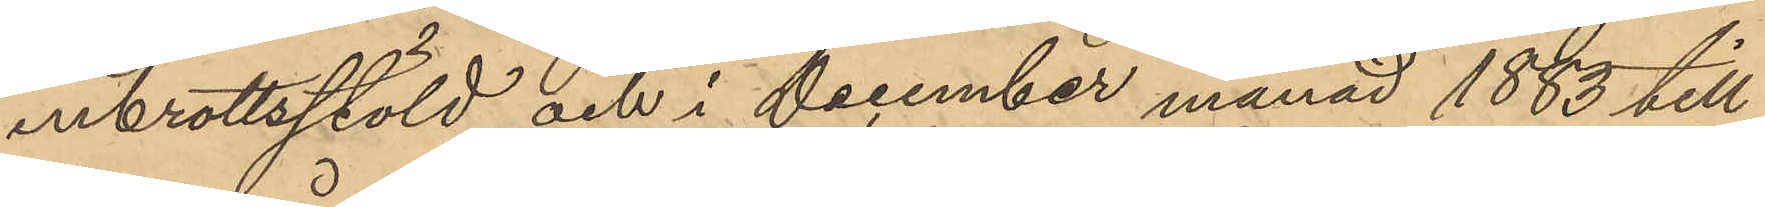inbrottsstöld och i December månad 1883 till
